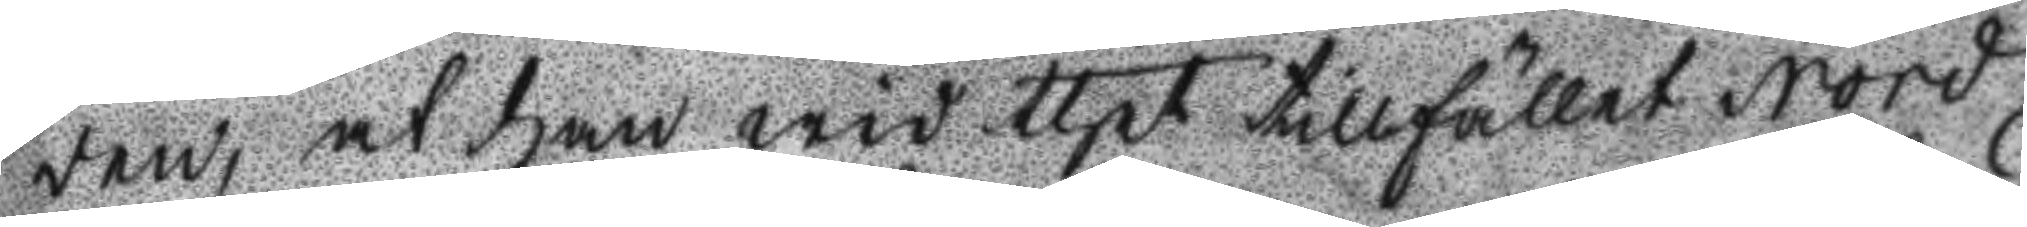den, at han wid thet tillfället Nord
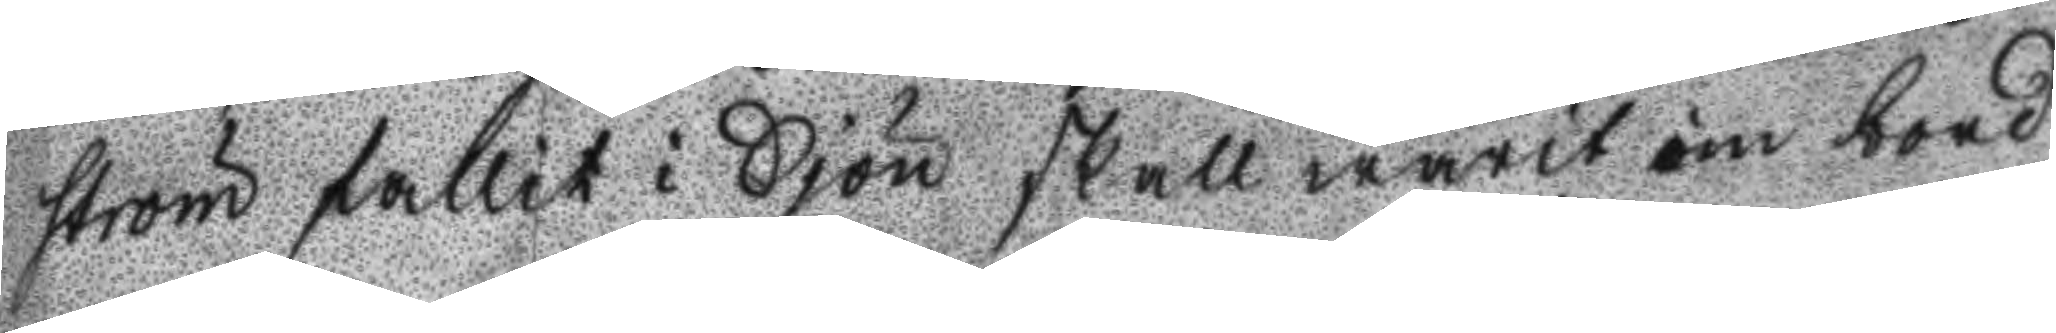ström fallit i Sjön skall warit om bord
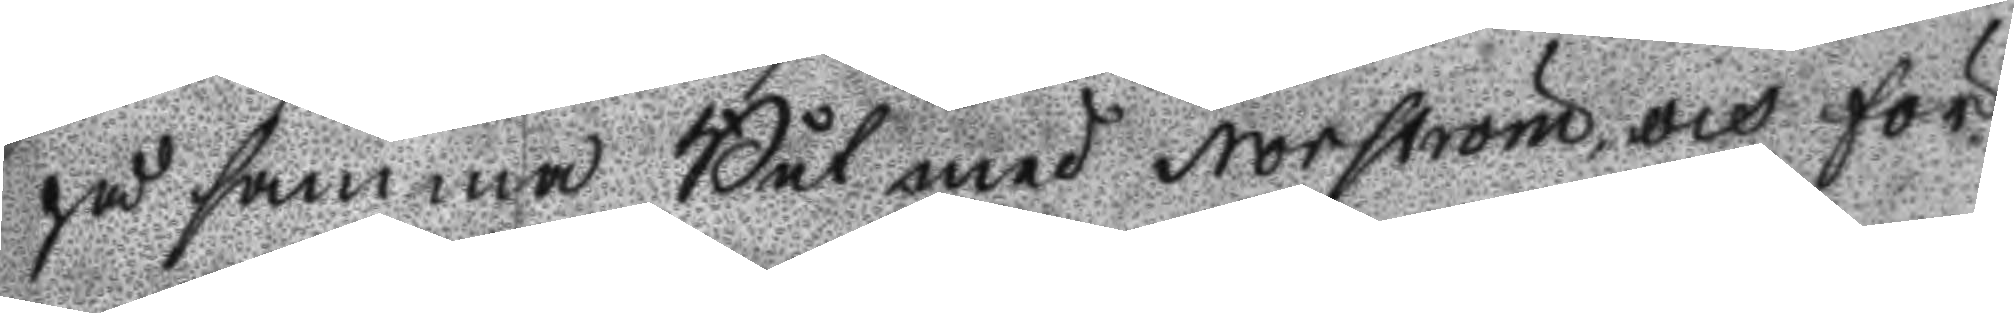på samma Båt med Nordström, och för
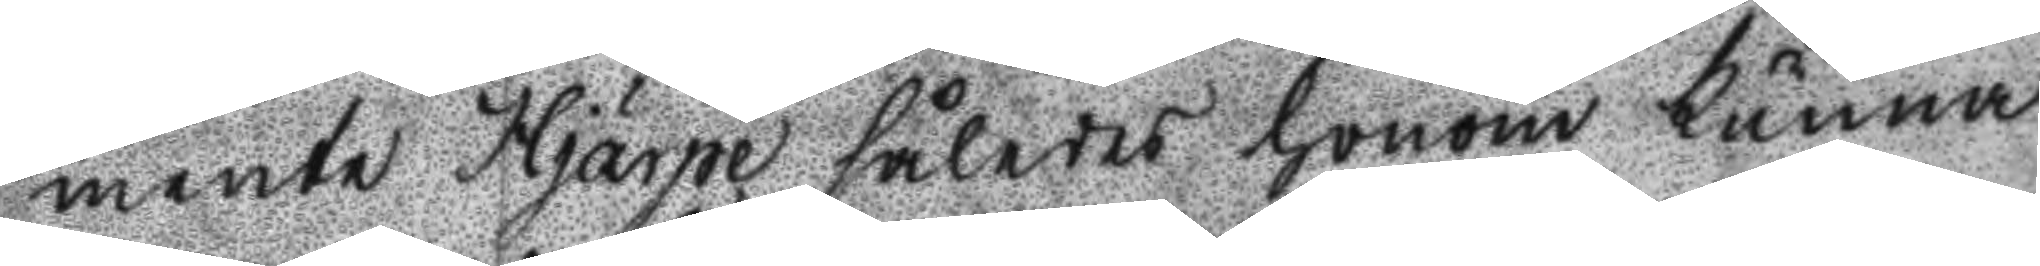mente Hjärpe således honom kunna
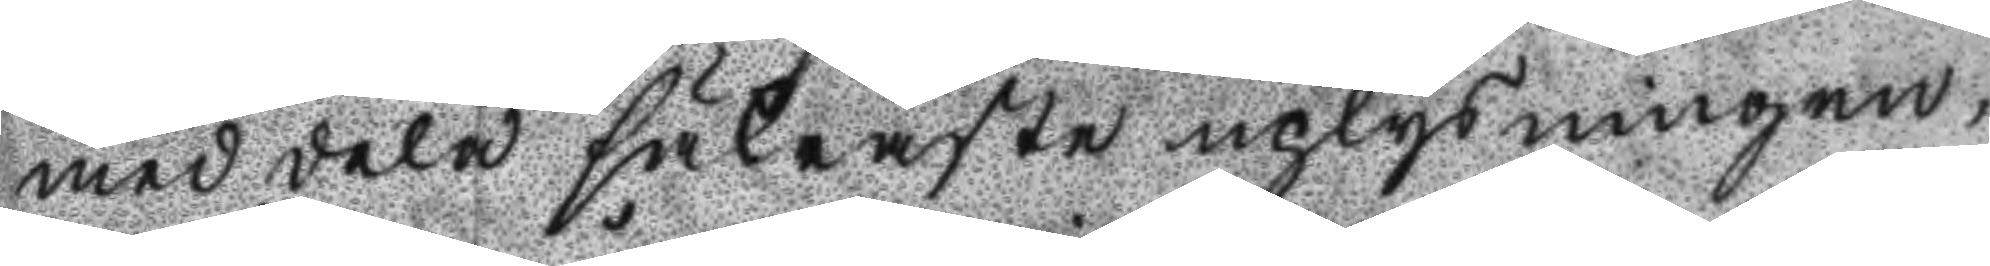med dela säkraste uplysningen,
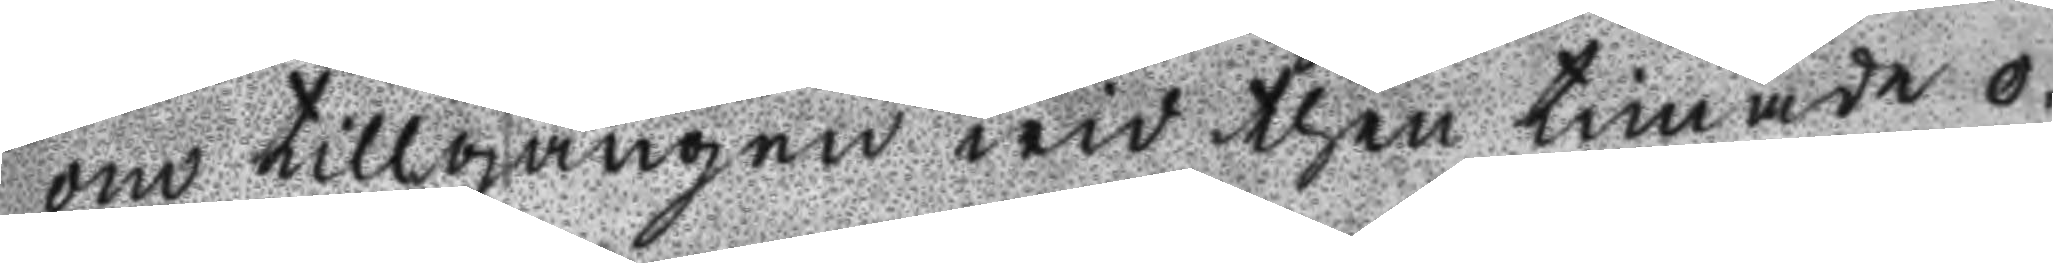om tillgången wid then timade o¬
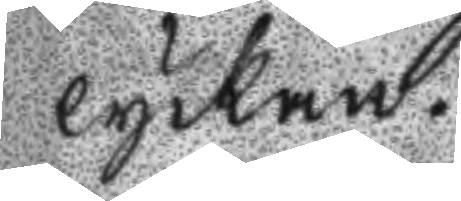lyckan.
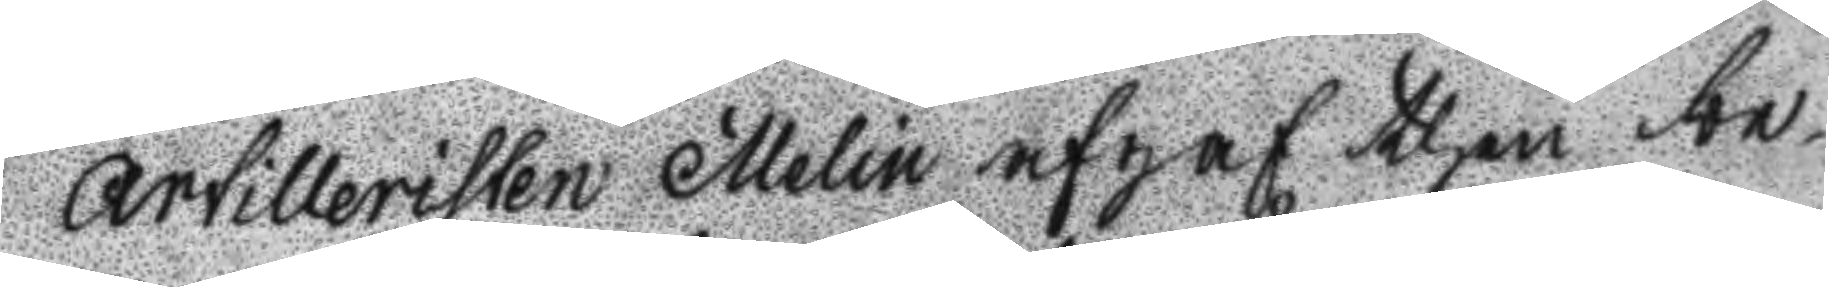Artilleristen Melin afgaf then be¬
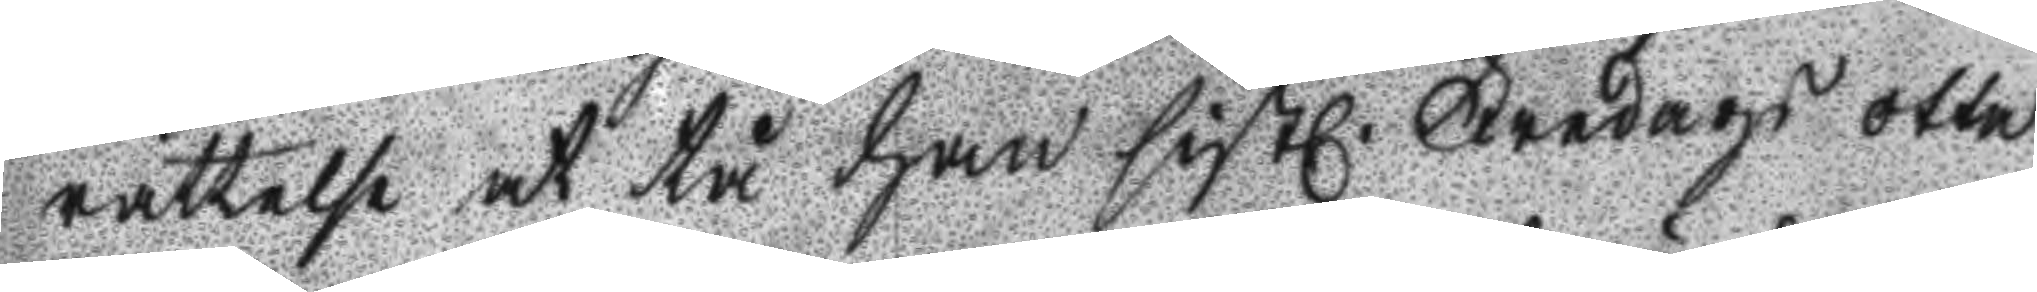rättelse at tå han sistl. Fredag otta
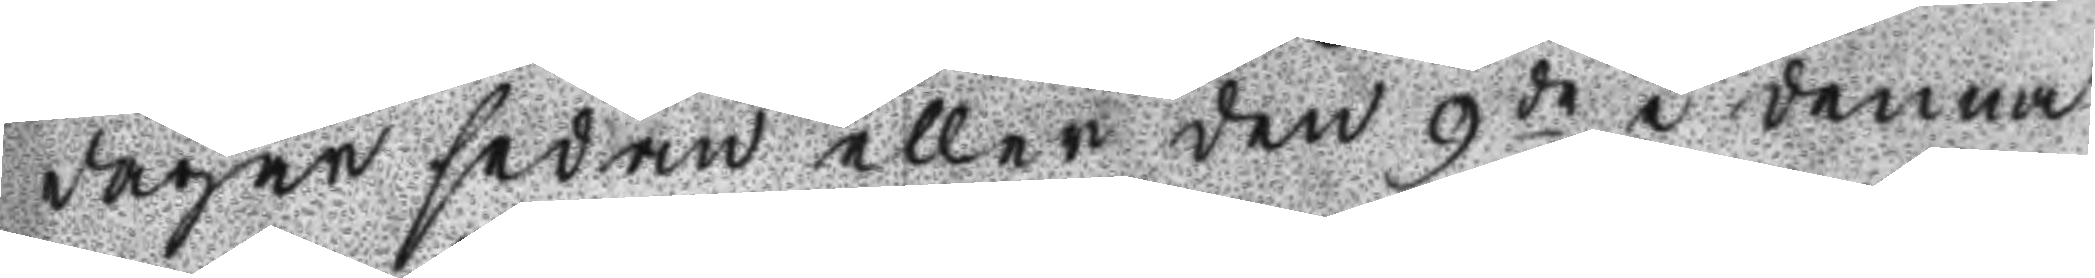dagar sedan eller den 9de i denna
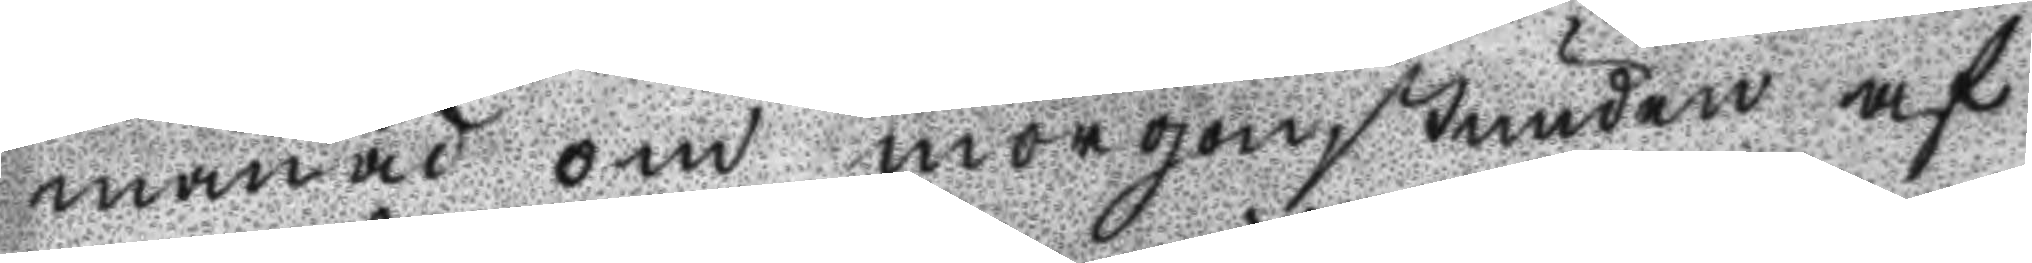månad om morgonstunden af
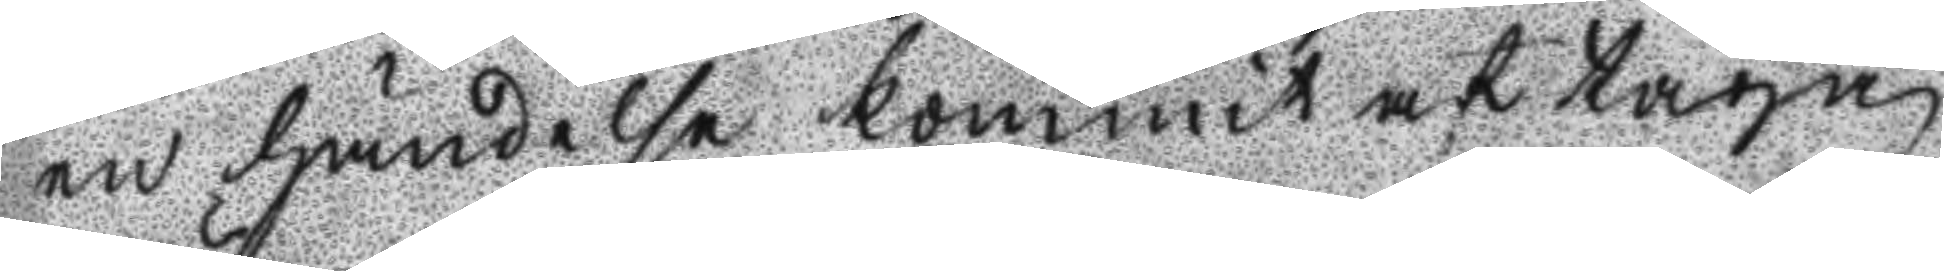en händelse kommit at taga
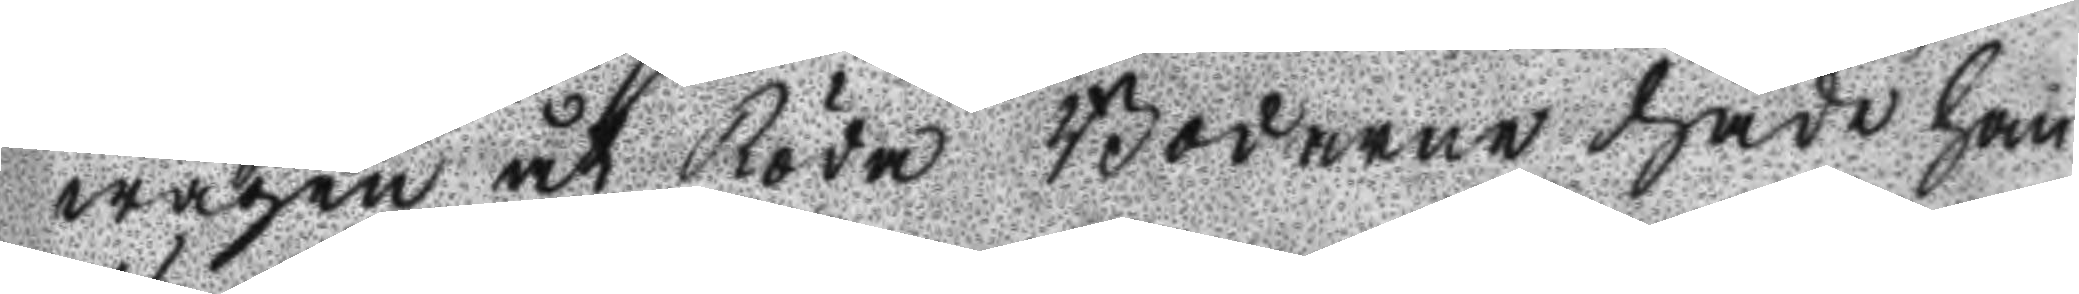wägen åt Röda Bodarne hade han
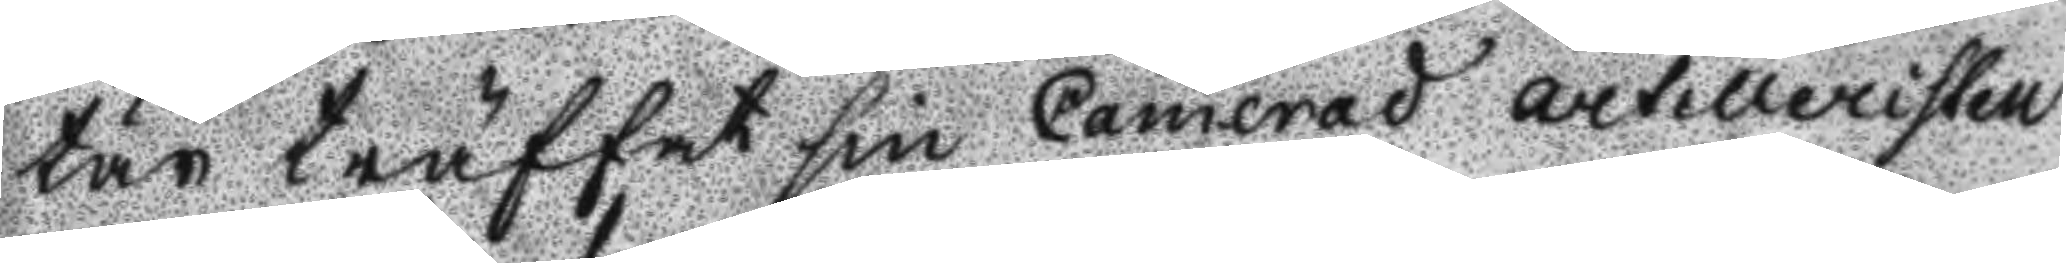tär träffat sin Camerad Artilleristen
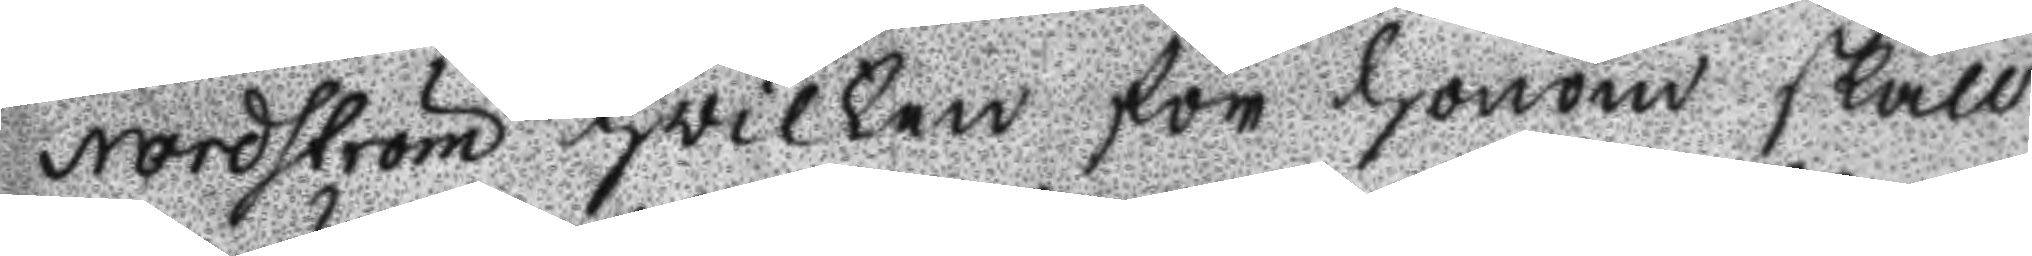Nordström hwilken för honom skall
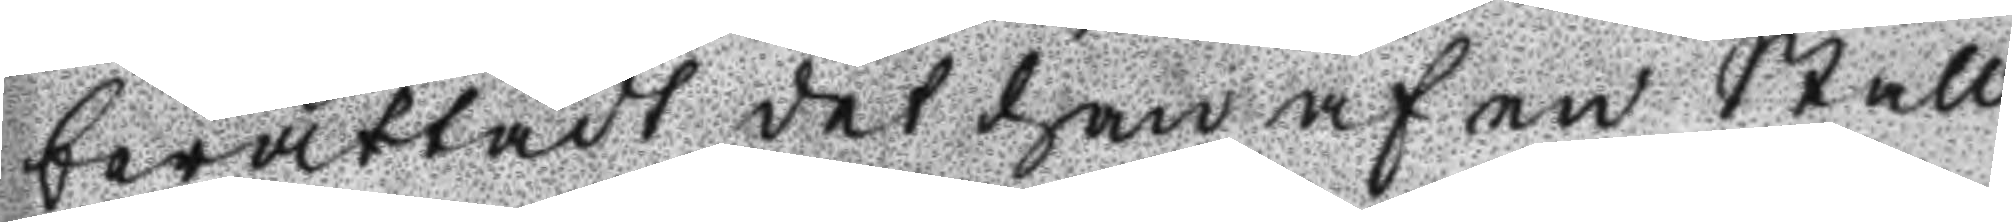berättadt det han af en stall
